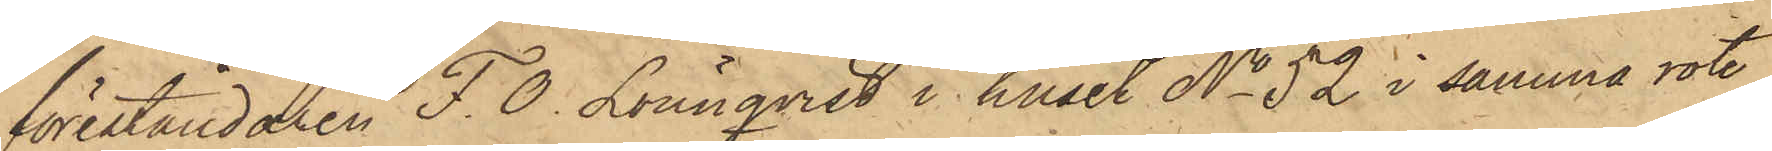föreståndaren F. O. Lönnqvist i huset No 52 i samma rote,
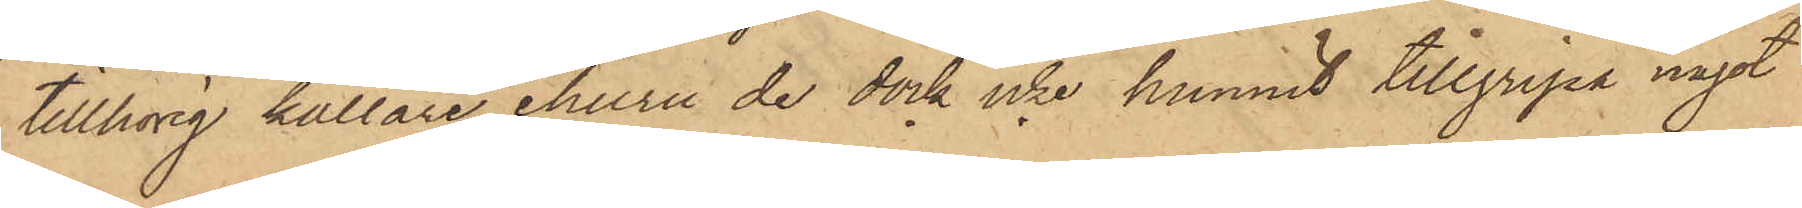tillhörig källare, ehuru de dock icke hunnit tillgripa något
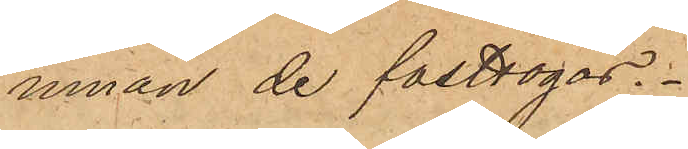innan de fasttogos.
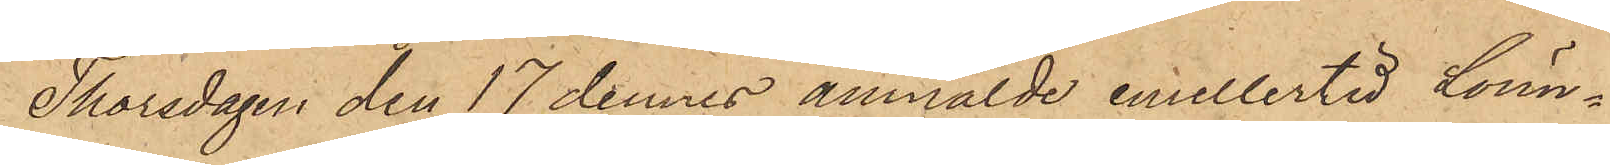Thorsdagen den 17 dennes anmälde emellertid Lönn¬
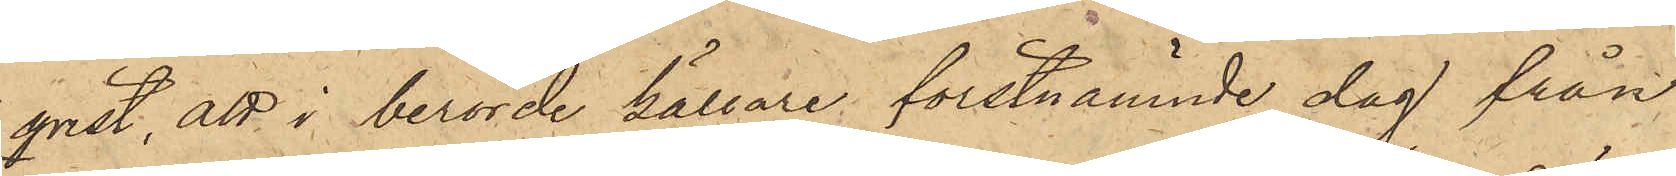qvist, att i berörde källare förstnämnde dag från
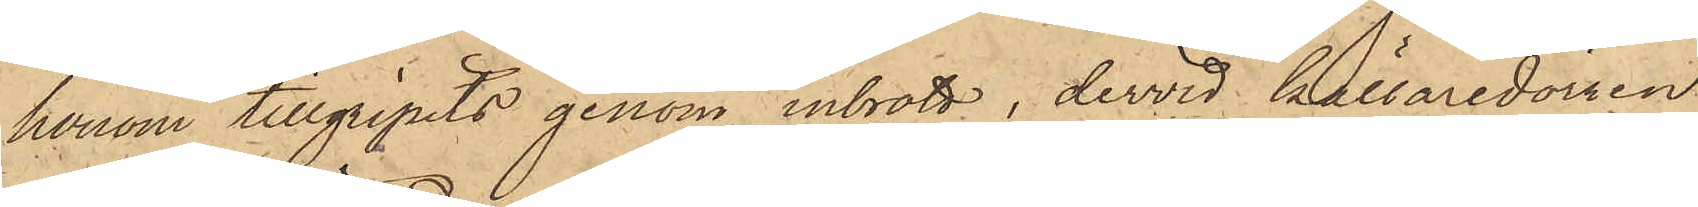honom tillgripits genom inbrott, dervid källaredörren
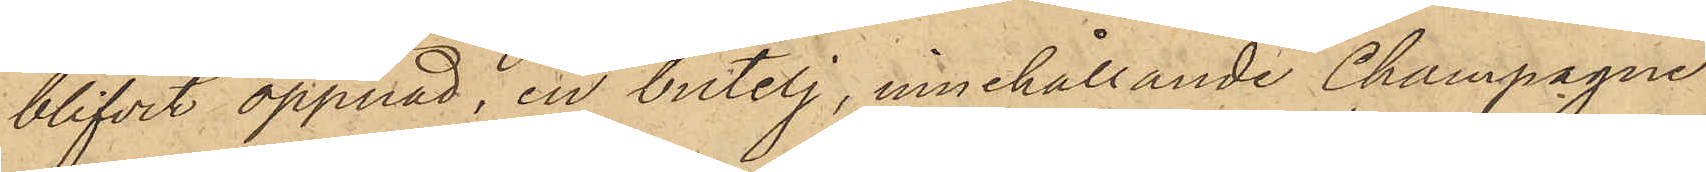blifvit öppnad, en butelj, innehållande Champagne
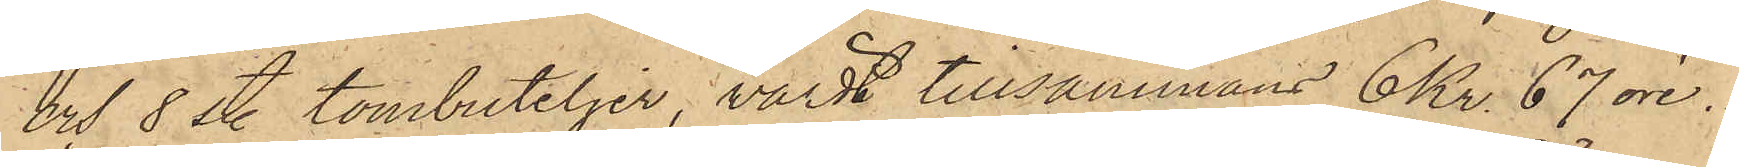och 8 sty. tombuteljer, värdt tillsammans 6 Kr. 67 öre.
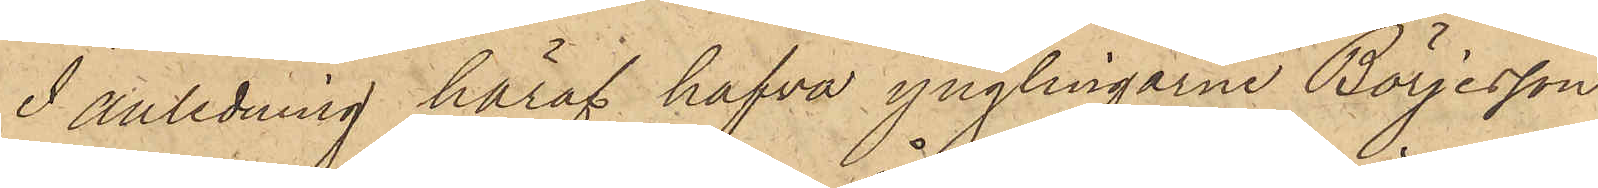I anledning häraf hafva ynglingarne Börjesson
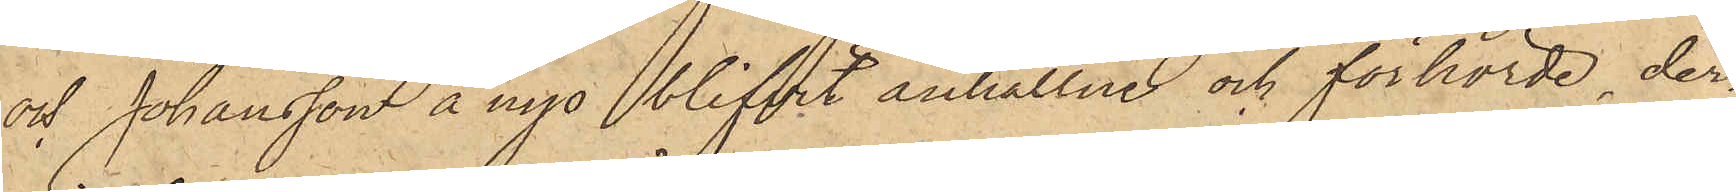och Johansson ånyo blifvit anhållne och förhörde, der¬
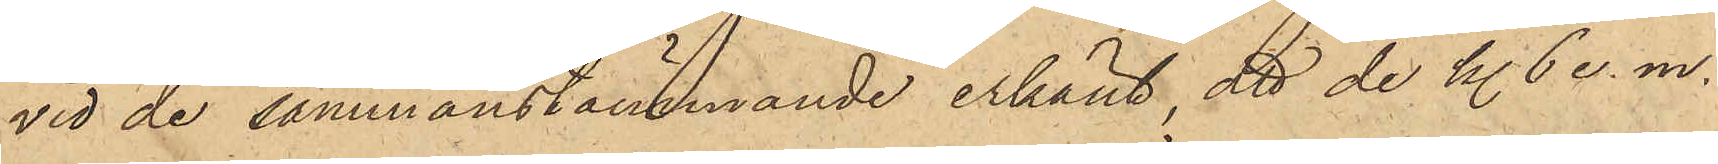vid de sammanstämmande erkänt, att de kl. 6 e. m.
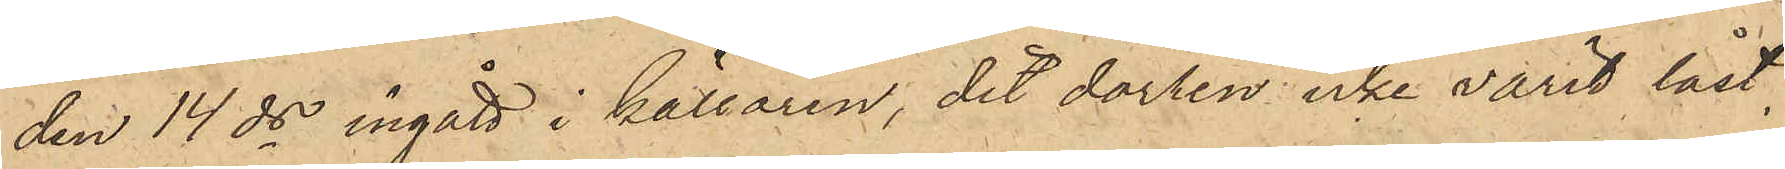den 14 ds ingått i källaren, dit dörren icke varit låst,
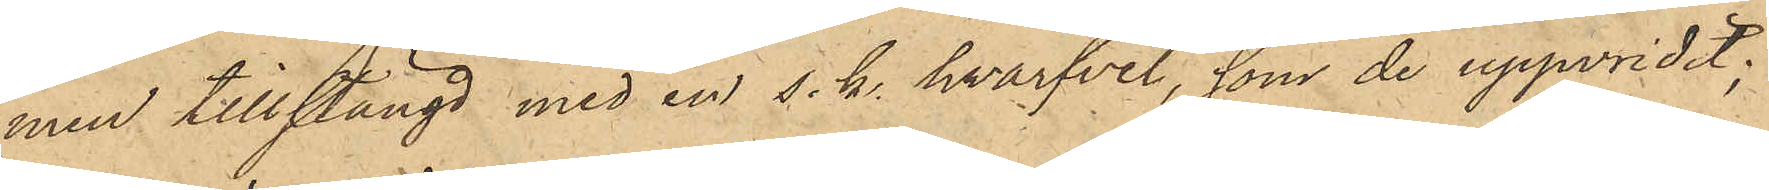men tillstängd med en s. k. hvarfvel, som de uppvridit;
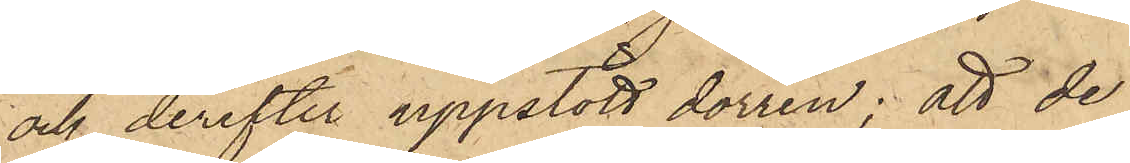och derefter uppstött dörren; att de
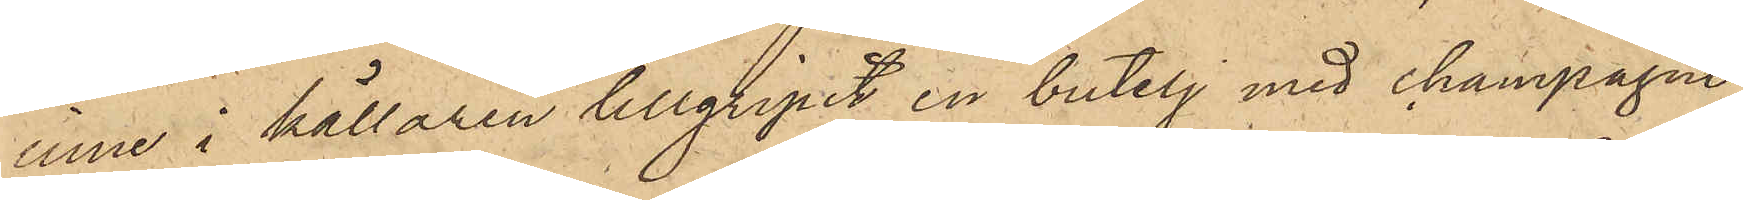inne i källaren tillgripit en butelj med champagne
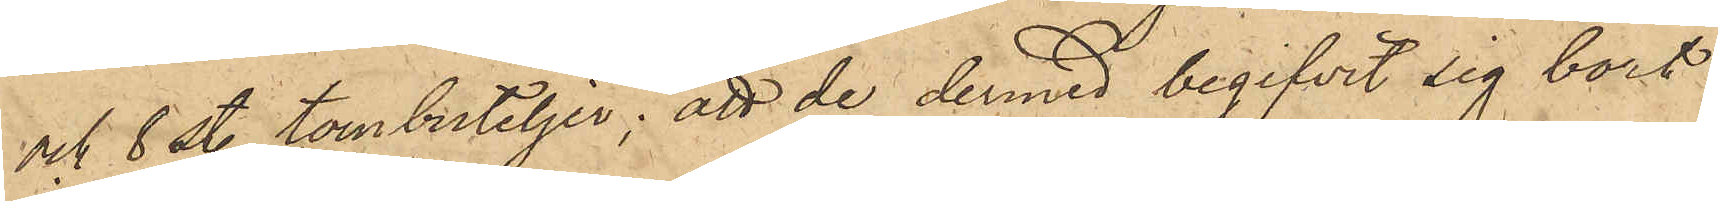och 8 sty. tombuteljer; att de dermed begifvit sig bort
